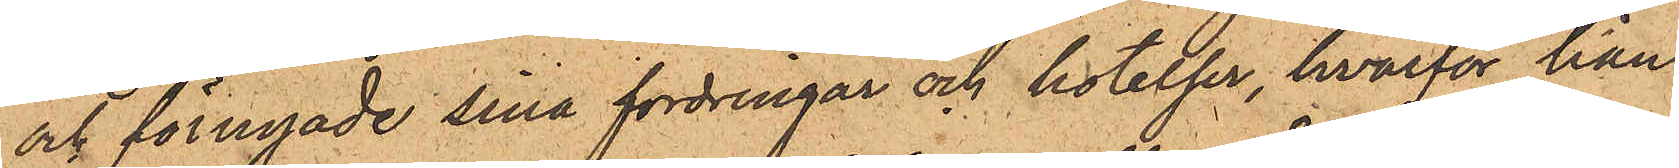och förnyade sina fordringar och hotelser, hvarför han
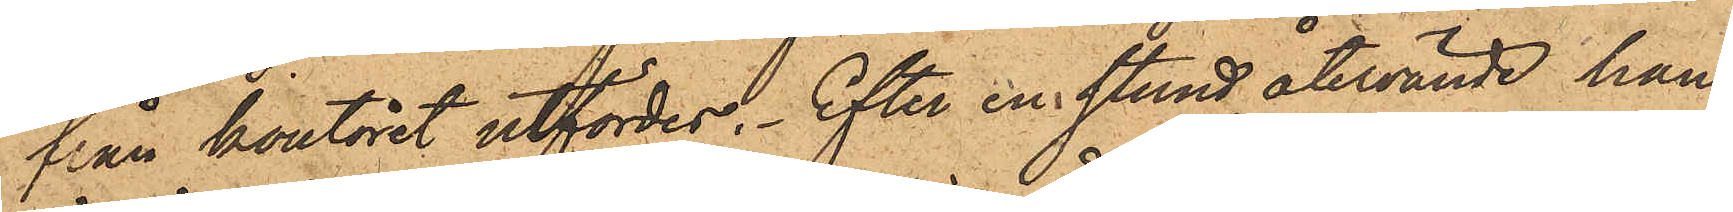från kontoret utfördes; efter en stund återvände han,
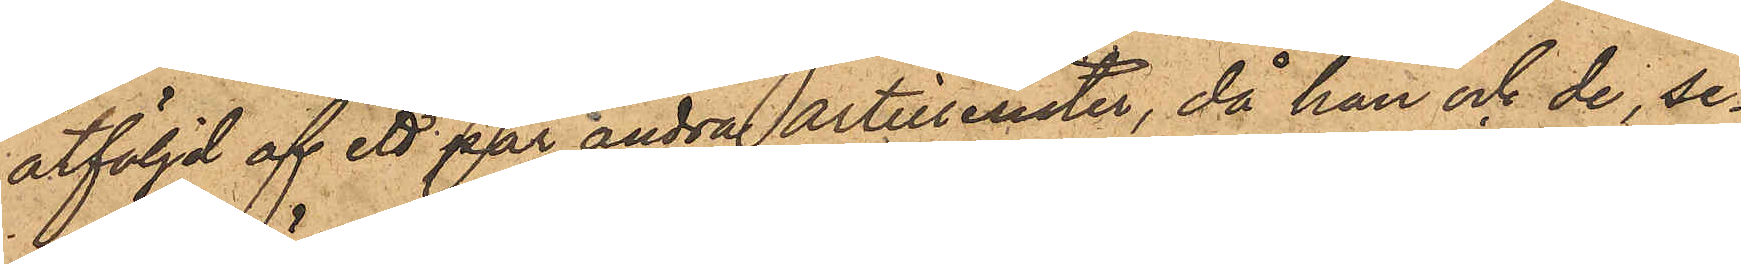åtföljd af ett par andra artillerister, då han och de, se¬
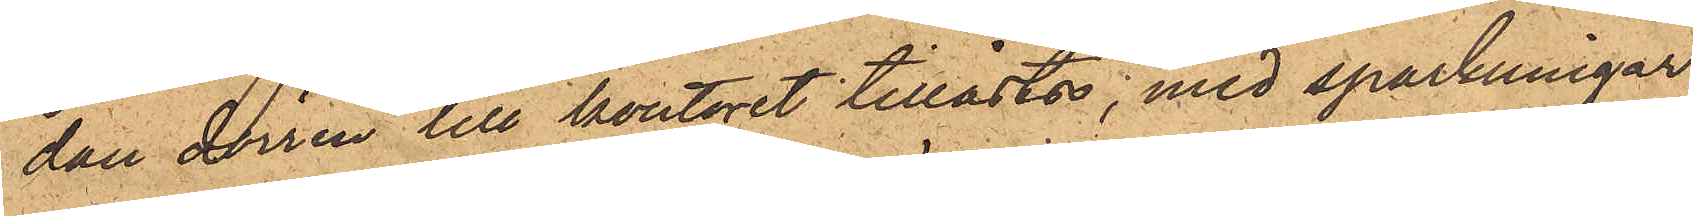dan dörren till kontoret tillåstes, med sparkningar
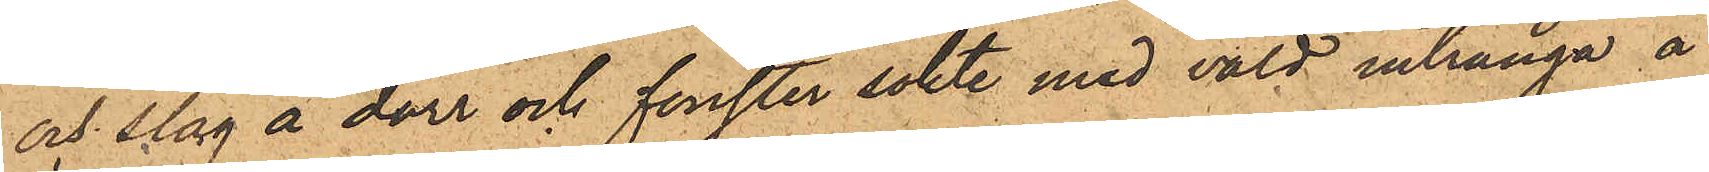och slag å dörr och fönster sökte med våld intränga å
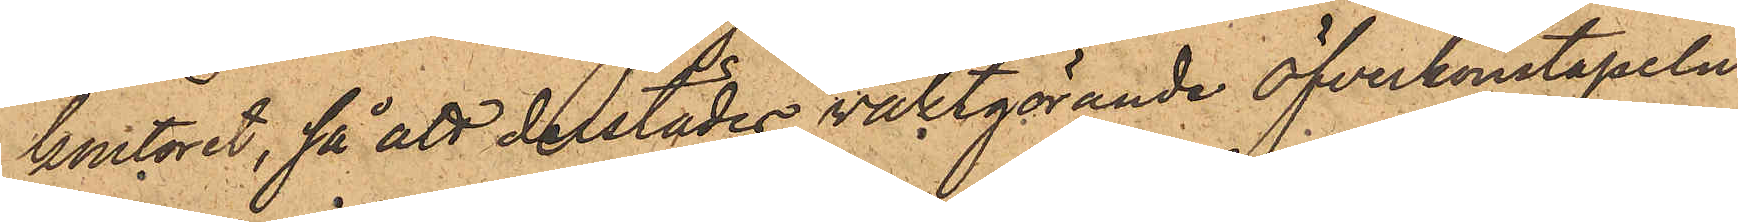kontoret, så att derstädes vaktgörande öfverkonstapeln
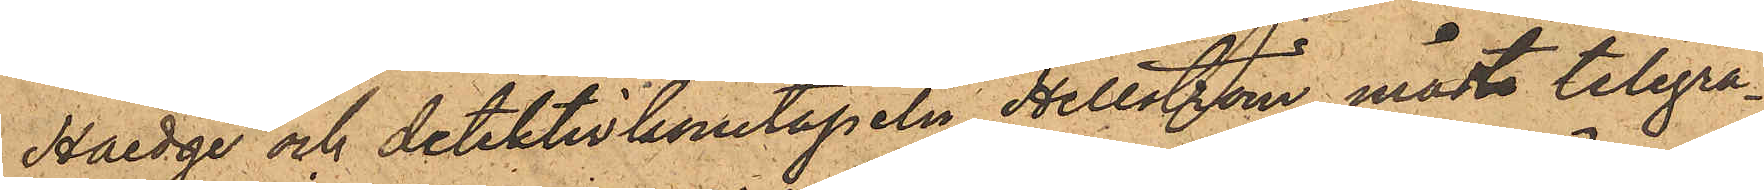Haedge och detektivkonstapeln Hellström måst telegra¬
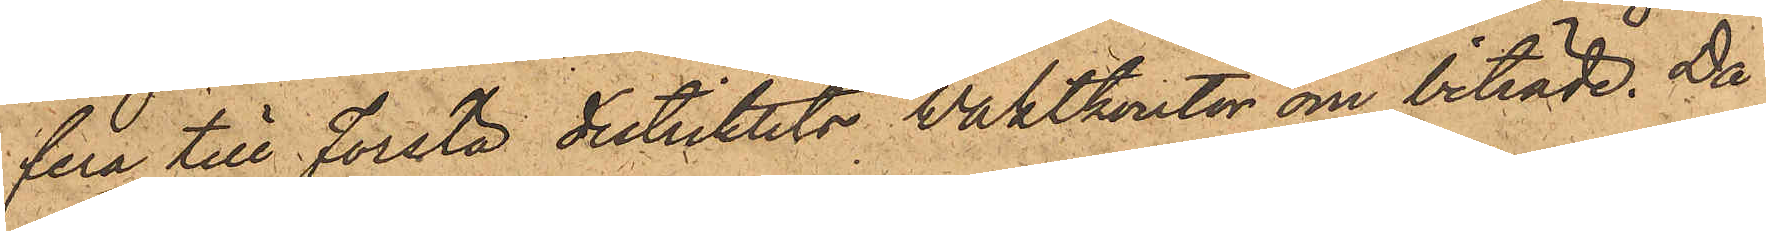fera till Första distriktets Vaktkontor om biträde. Då
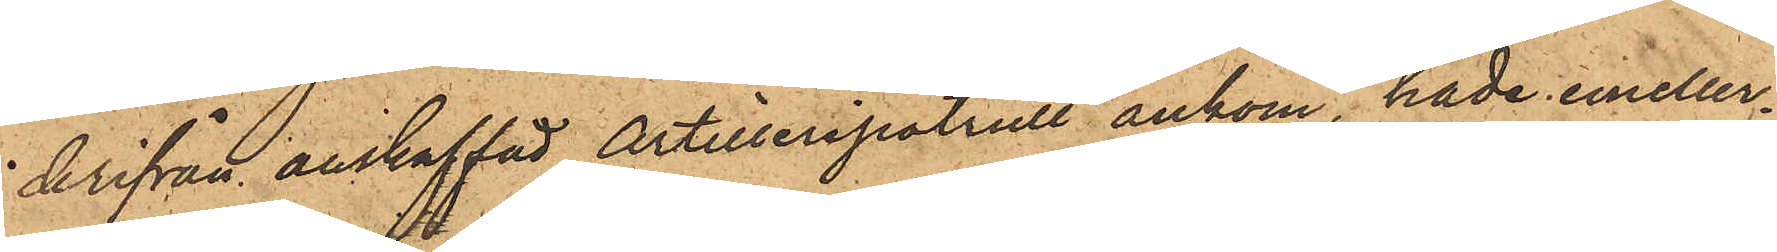derifrån anskaffad Artilleripatrull ankom, hade emeller¬
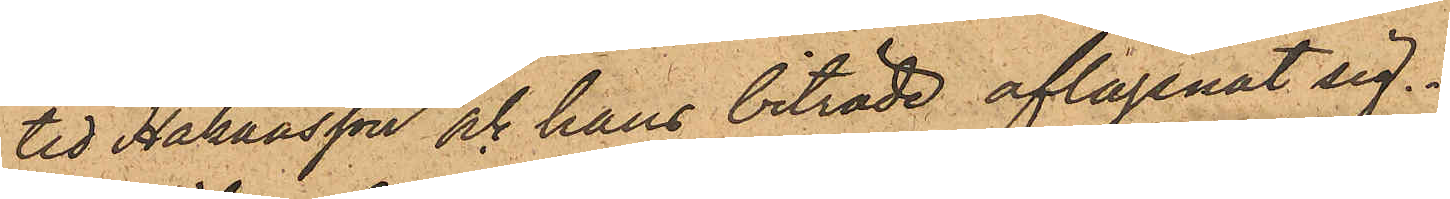tid Håkansson och hans biträde aflägsnat sig.
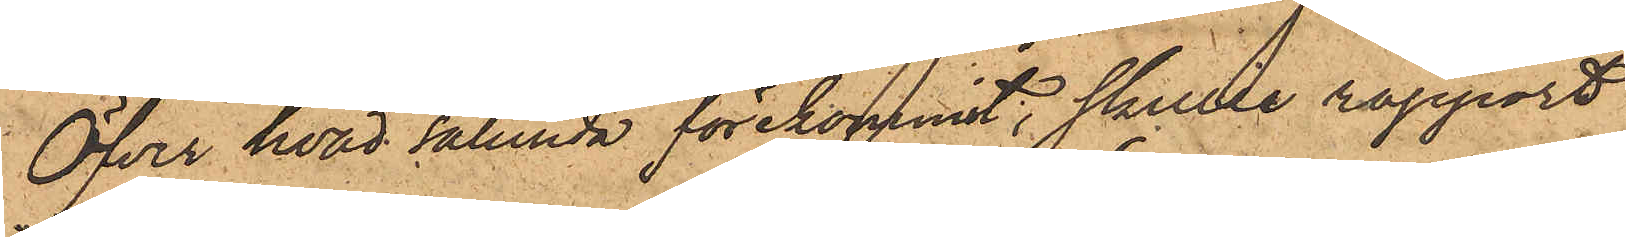Öfver hvad sålunda förekommit, skulle rapport
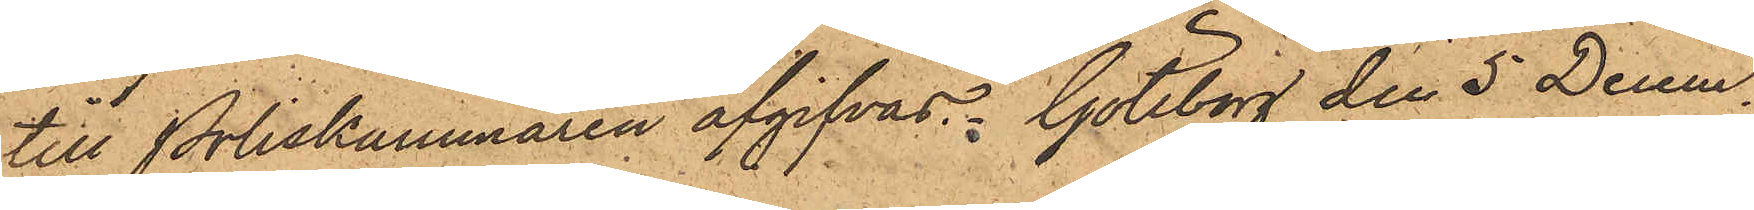till Poliskammaren afgifvas. Göteborg den 5 Decem¬
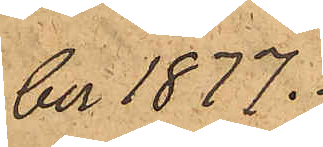ber 1877.
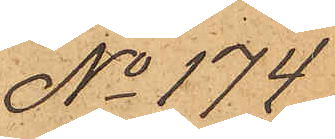No 174
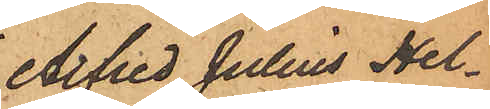Alfred Julius Hel¬
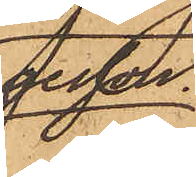gesson.
